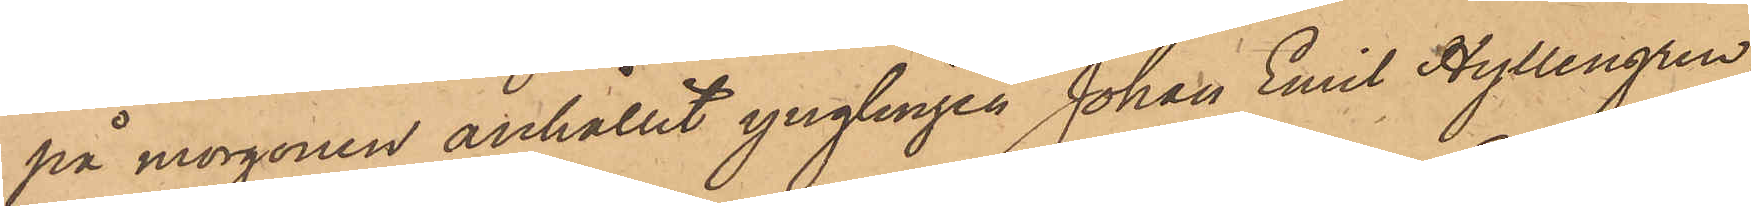på morgonen anhållit ynglingen Johan Emil Hyllengren
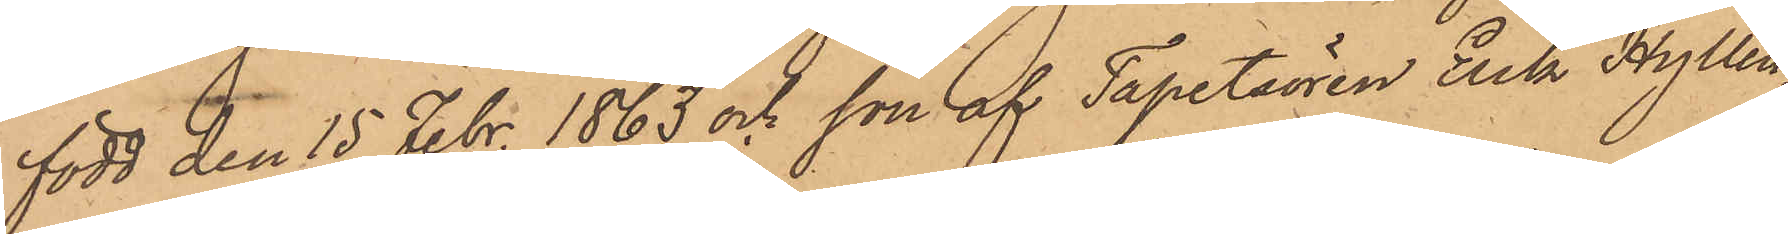född den 15 Febr. 1863 och son af Tapetsören Erik Hyllen¬
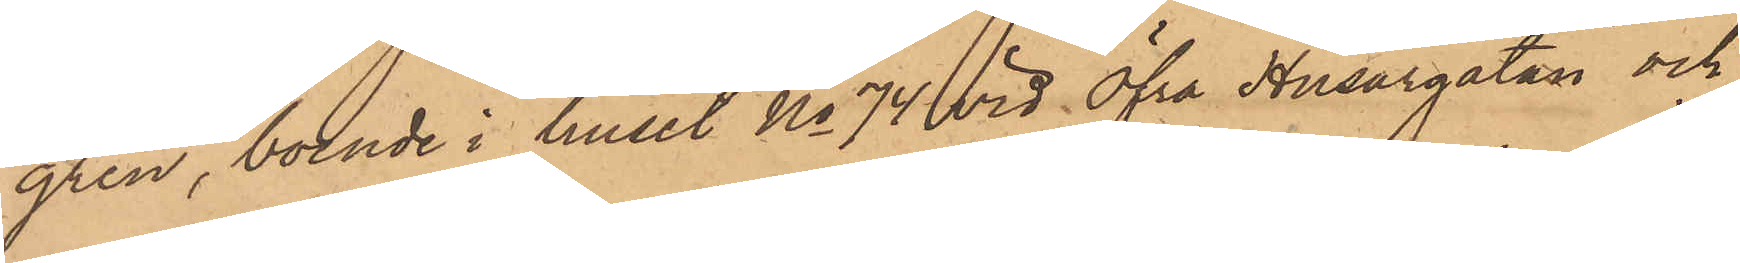gren, boende i huset No 74 vid Öfra Husargatan och
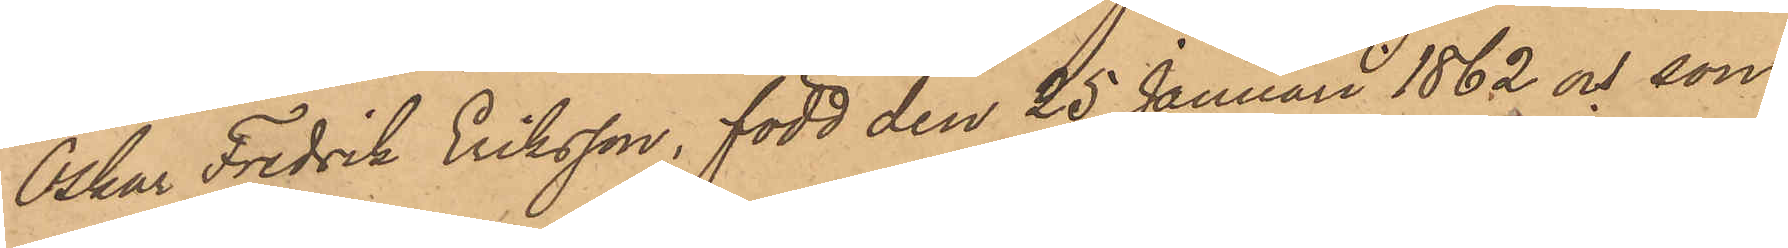Oskar Fredrik Eriksson, född den 25 Januari 1862 och son
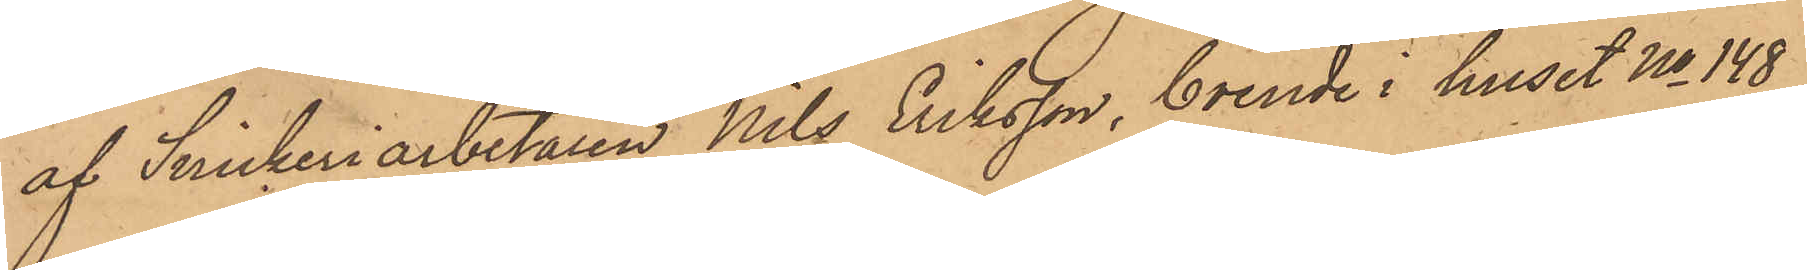af Snickeriarbetaren Nils Eriksson, boende i huset No 148
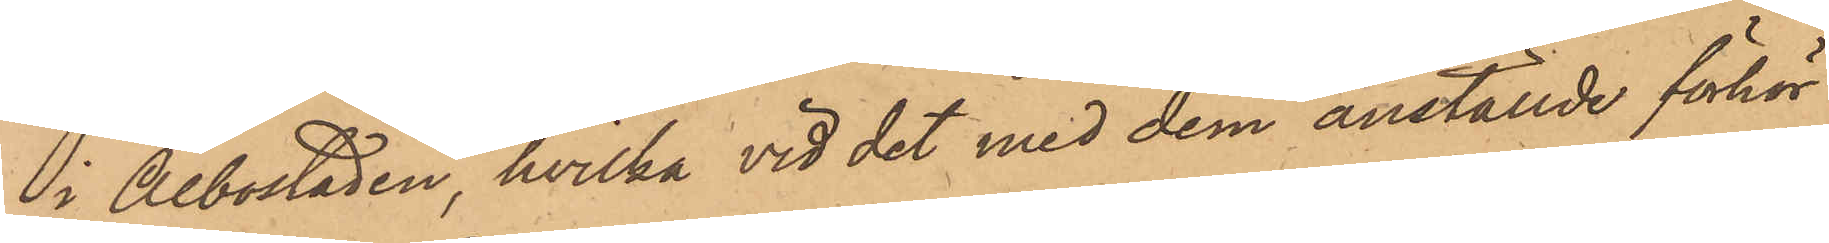i Albostaden, hvilka vid det med dem anställde förhör
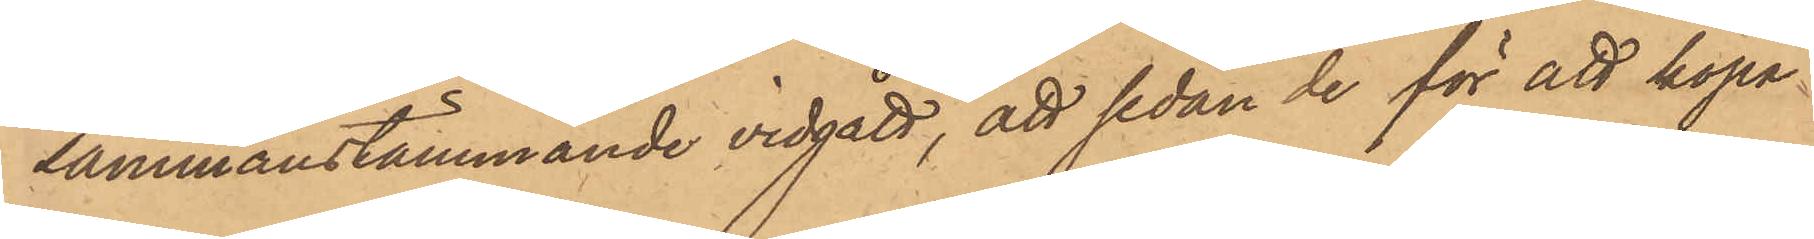sammanstämmande vidgått, att sedan de för att köpa
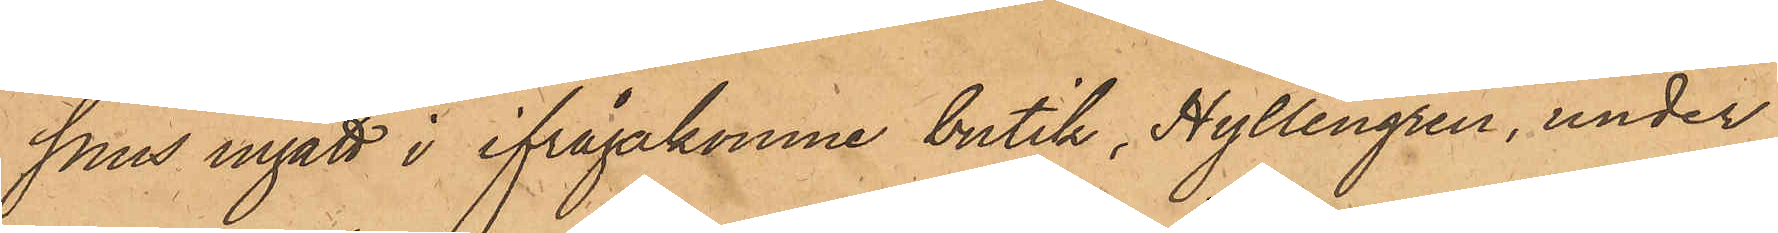snus ingått i ifrågakomne butik, Hyllengren, under
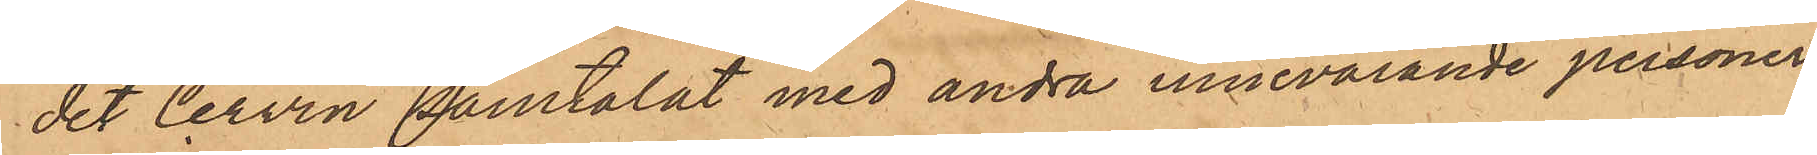det Cervin samtalat med andra innevarande personer
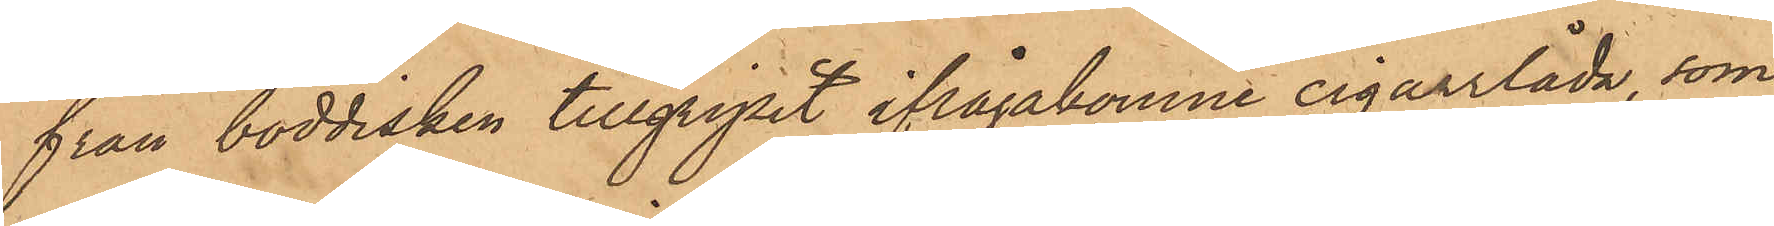från boddisken tillgripit ifrågakomne cigarrlåda, som
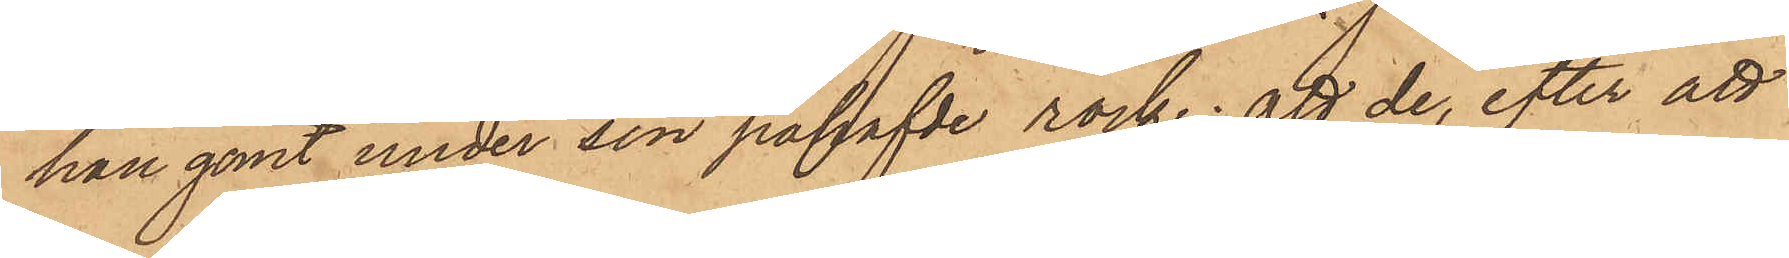han gömt under sin påhafvde rock; att de, efter att
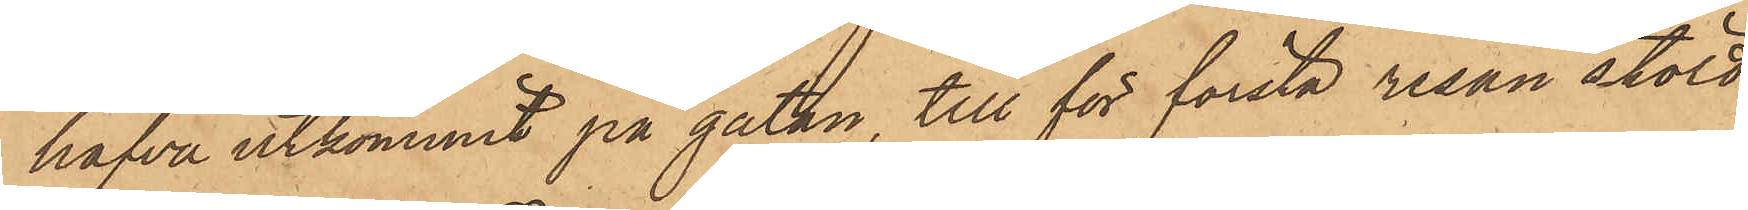hafva utkommit på gatan, till för första resan stöld
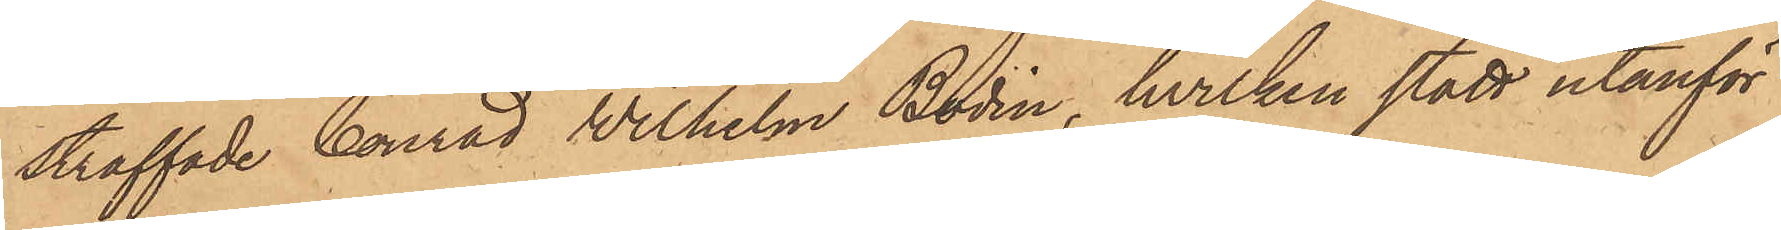straffade Conrad Wilhelm Bodin, hvilken stått utanför
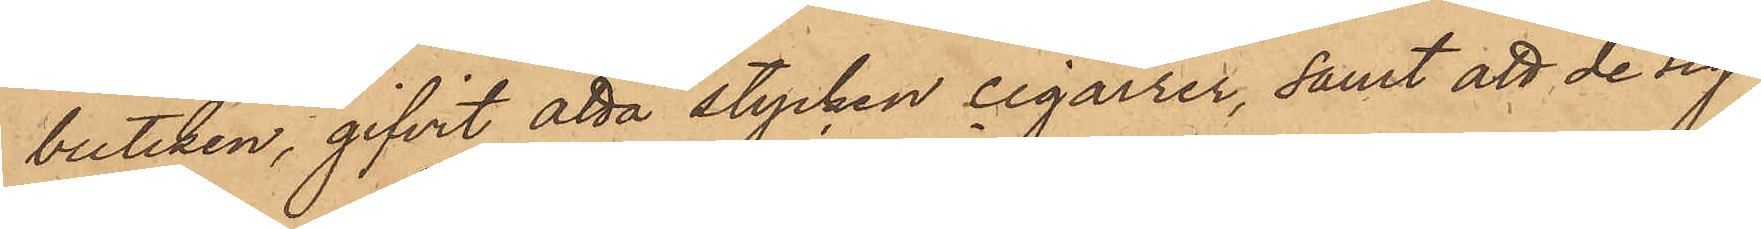butiken, gifvit åtta stycken cigarrer, samt att de sig
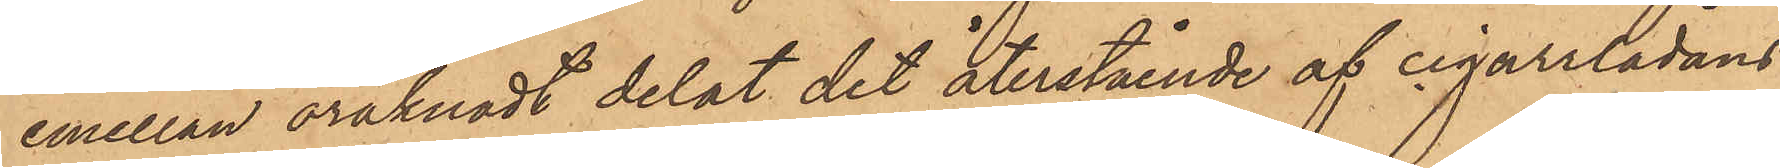emellan oräknadt delat det återstående af cigarrlådans
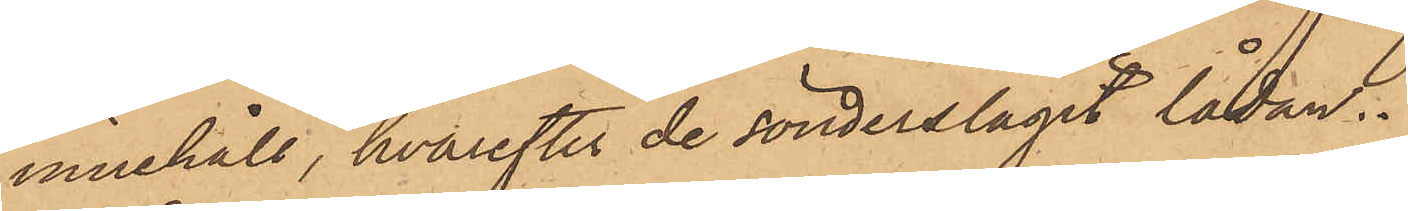innehåll, hvarefter de sönderslagit lådan.
